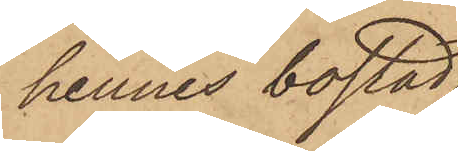hennes bostad
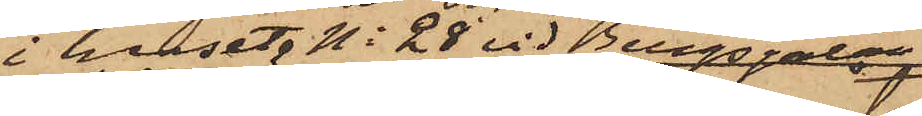i huset No 28 vid Bergsgatan
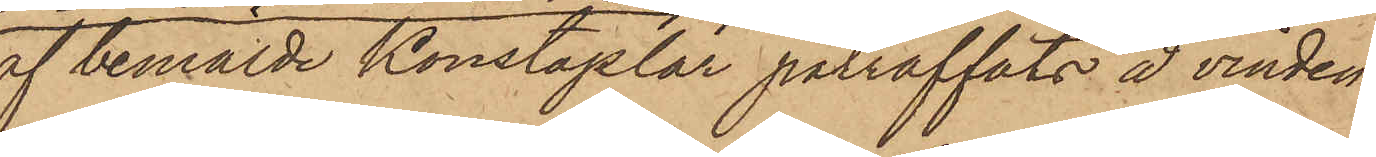af bemälde Konstaplar påträffats å vinden
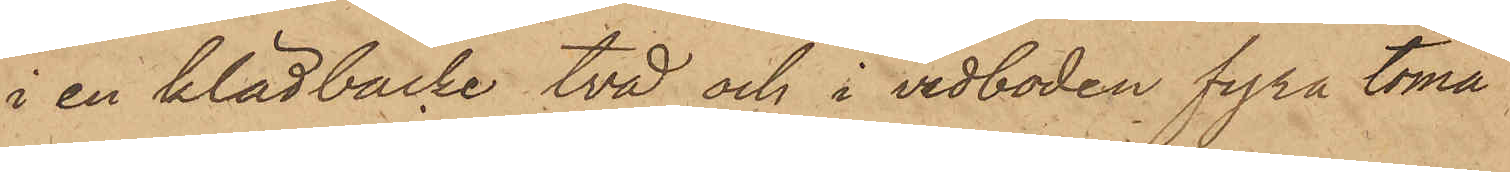i en klädbacke två och i vedboden fyra toma
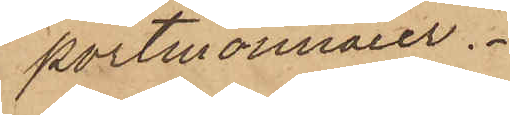portmonnaier.
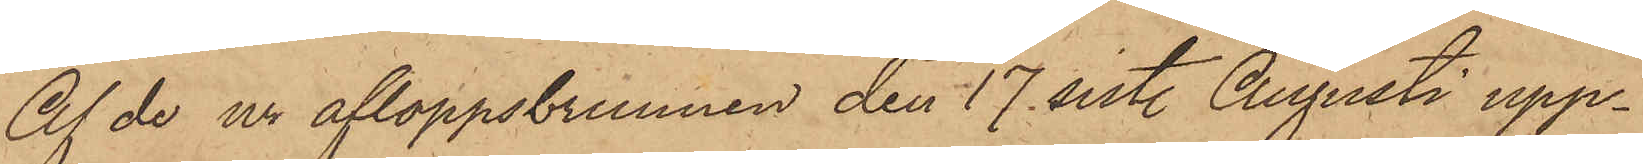Af de ur afloppsbrunnen den 17 sistl. Augusti upp¬
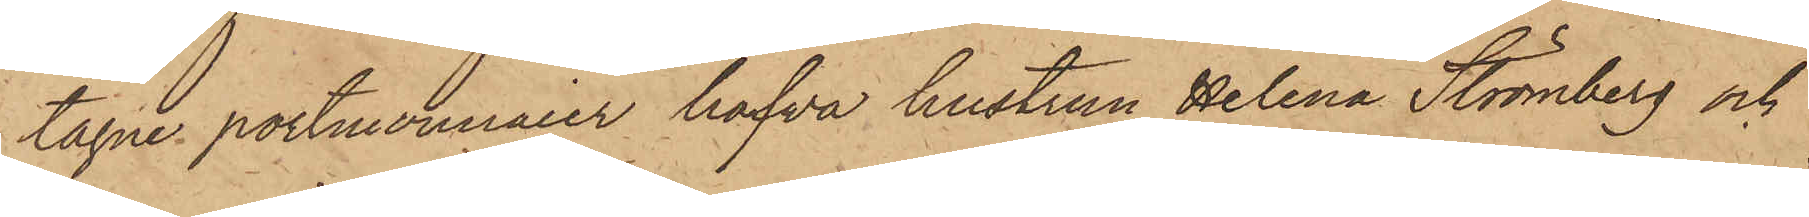tagne portmonnaier hafva hustrun Helena Strömberg och
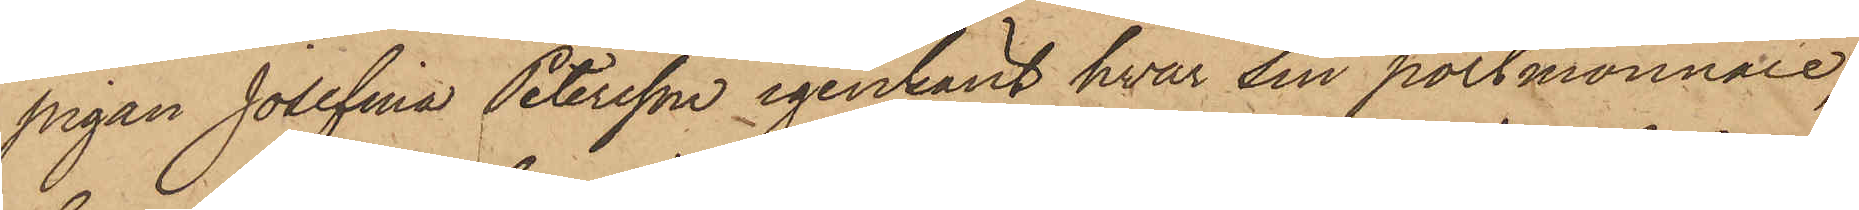pigan Josefina Petersson igenkänt hvar sin portmonnaie,
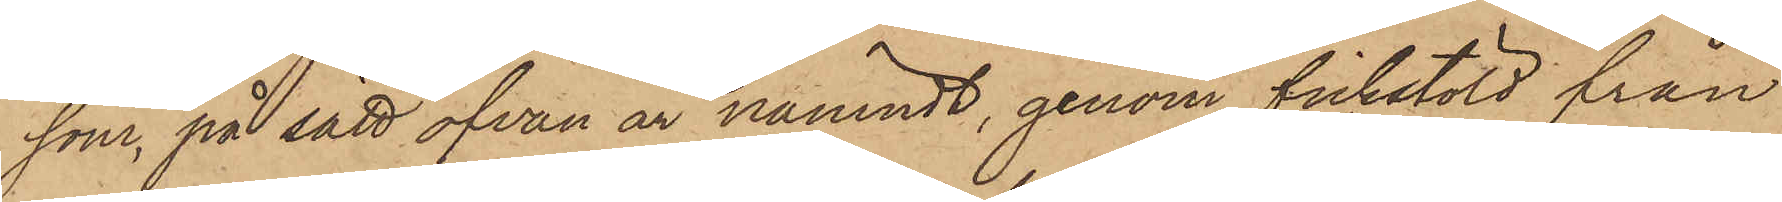som, på sätt ofvan är nämndt, genom fickstöld från
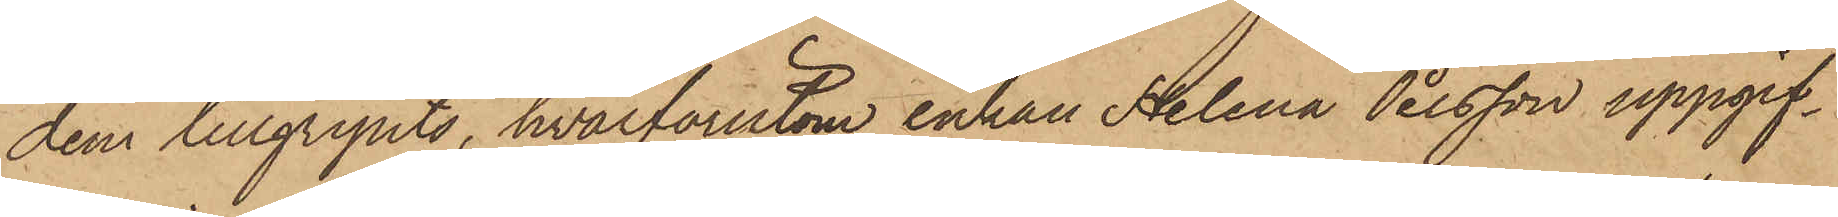dem tillgripits, hvarförutom enkan Helena Persson uppgif¬
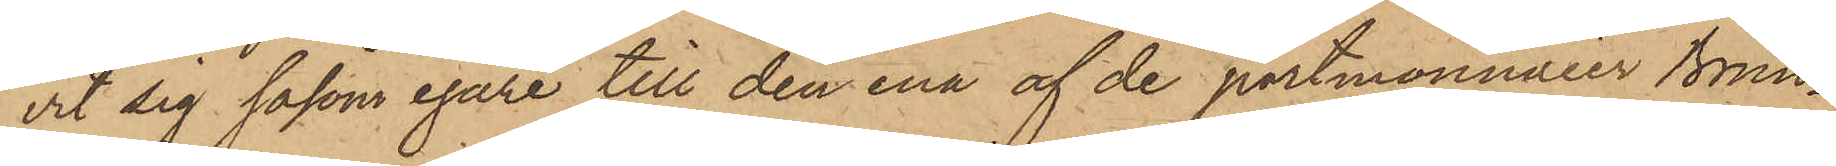vit sig såsom egare till den ena af de portmonnaier Brun¬
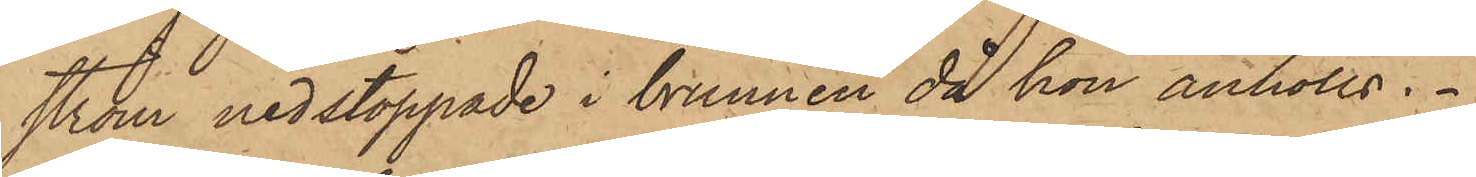ström nedstoppade i brunnen då hon anhölls.
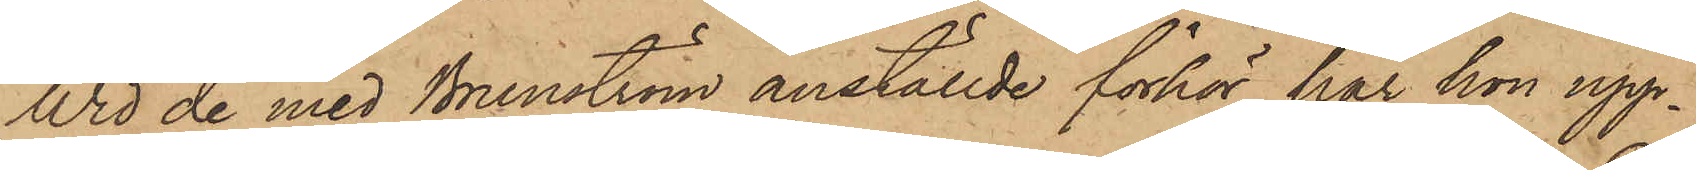Wid de med Brunström anställde förhör har hon upp¬
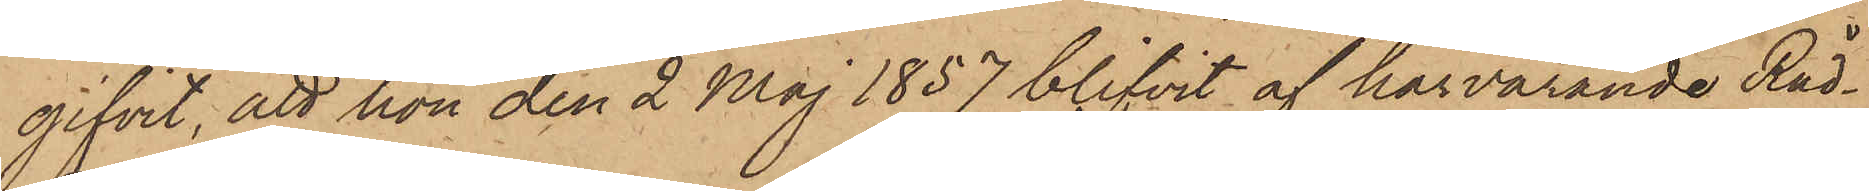gifvit, att hon den 2 Maj 1857 blifvit af härvarande Råd¬
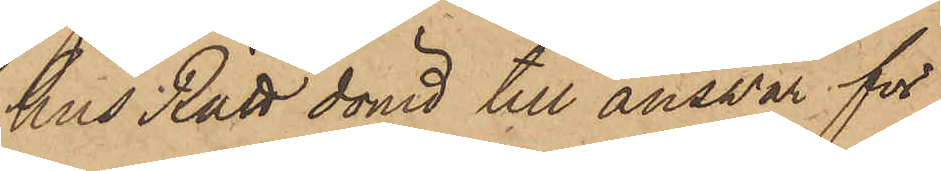hus Rätt dömd till ansvar för
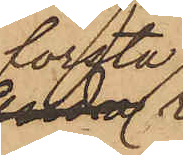första
